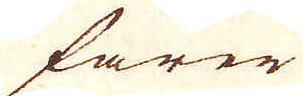farer
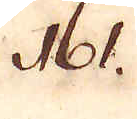161.
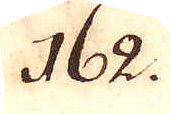162.
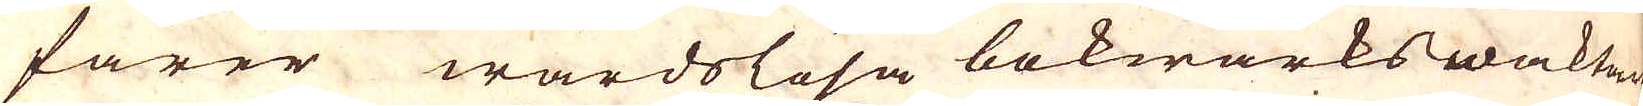farer wårdslösa bokwärkswaktare
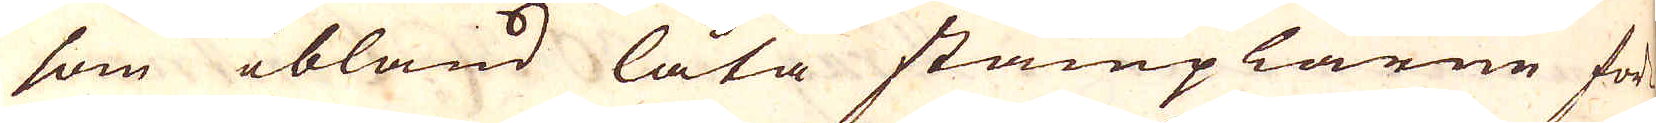som ibland låta stämplarne för-
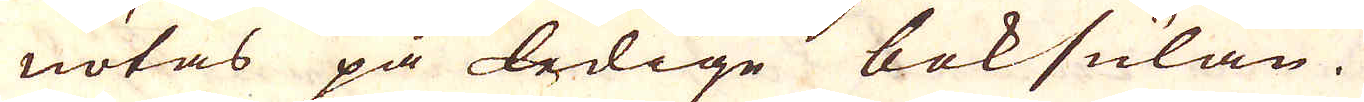nötas på bedige boksulan.
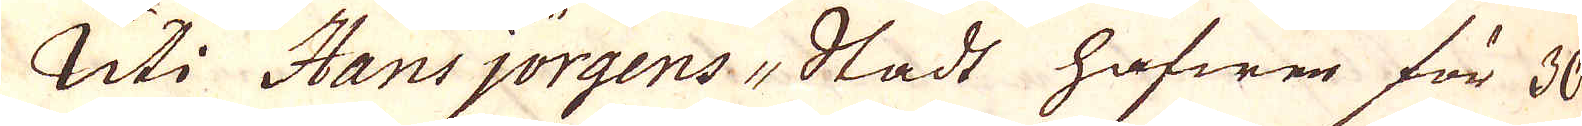Uti Hans jörgens-Stadt hafwer för 30
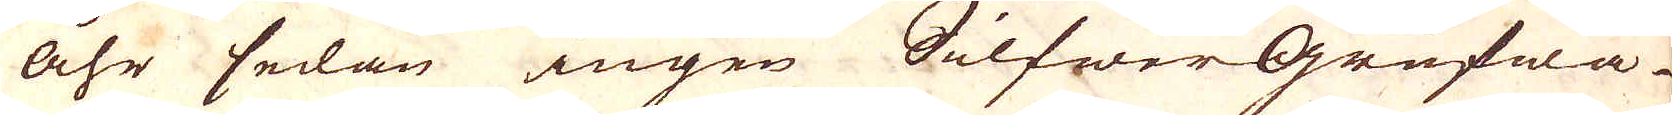åhr sedan ingen Silfwer Grufwa
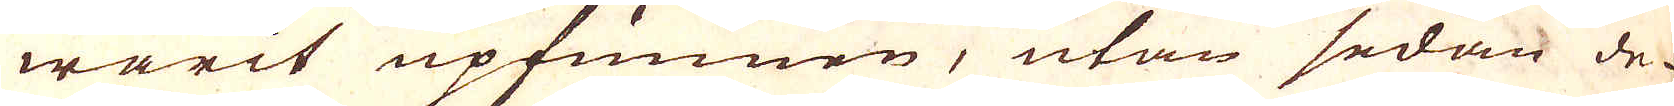warit upfunnen, utan sedan de
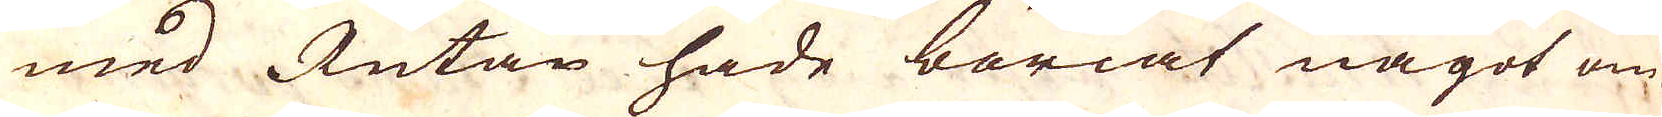med Rutan hade böriat något om-
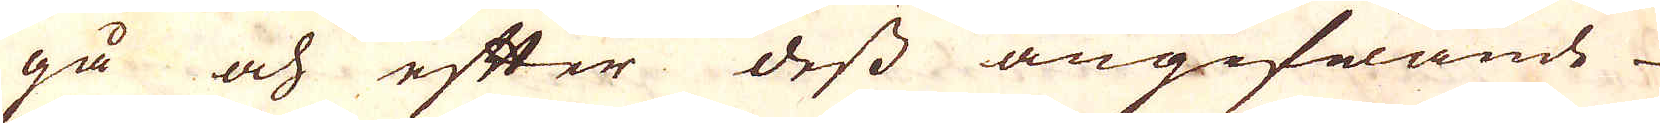gå och efter dess angifwande
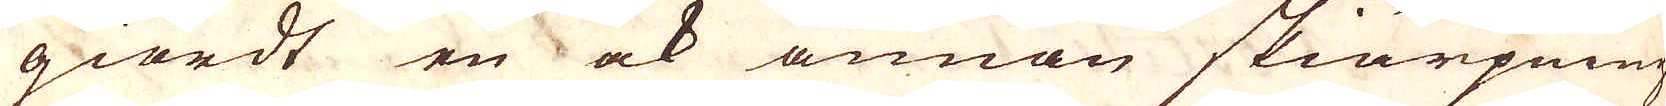giordt en ock annan skiärpning
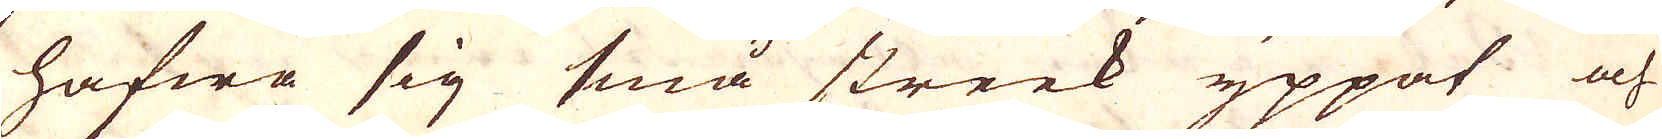hafwa sig små streck yppat och
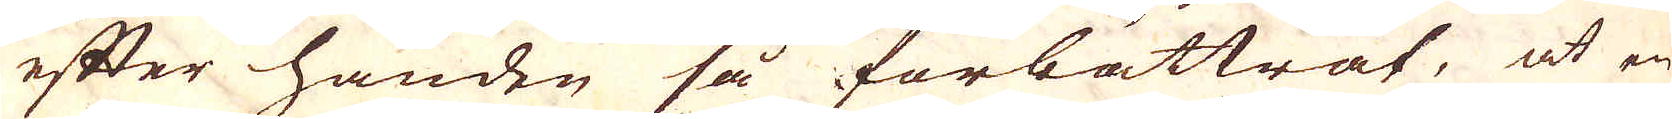efter handen så förbättrat, at en
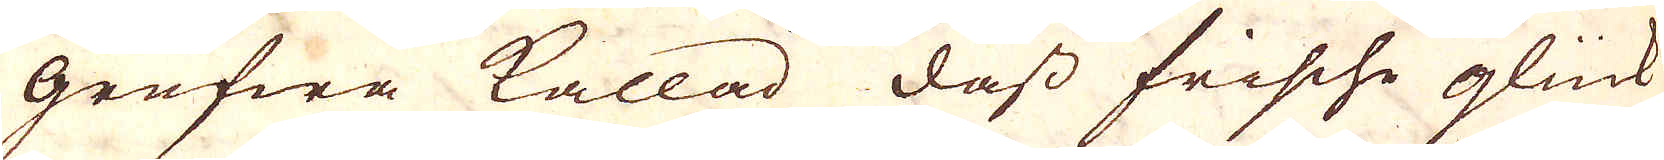grufwa kallad dass frische glück
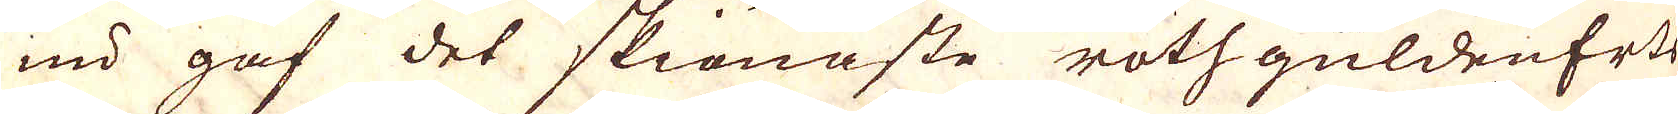nu gaf det skiönaste rothguldenErts
